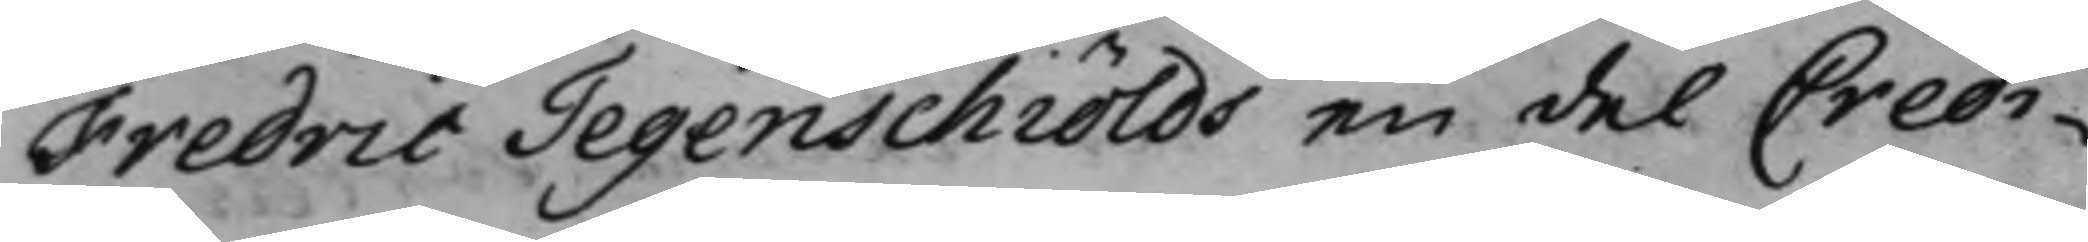Fredric Tegenschiölds en del Credi¬
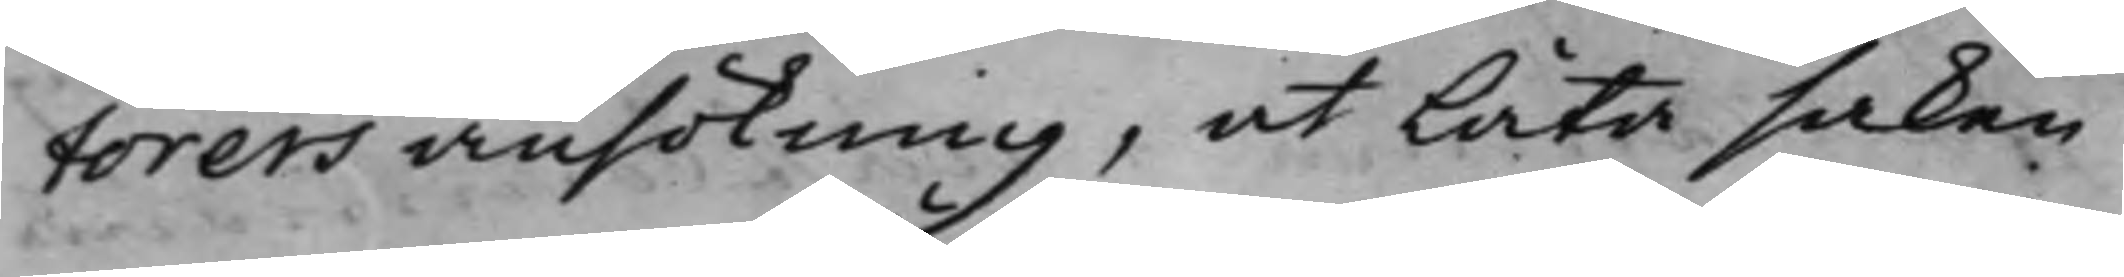torers ansökning, at låta saken
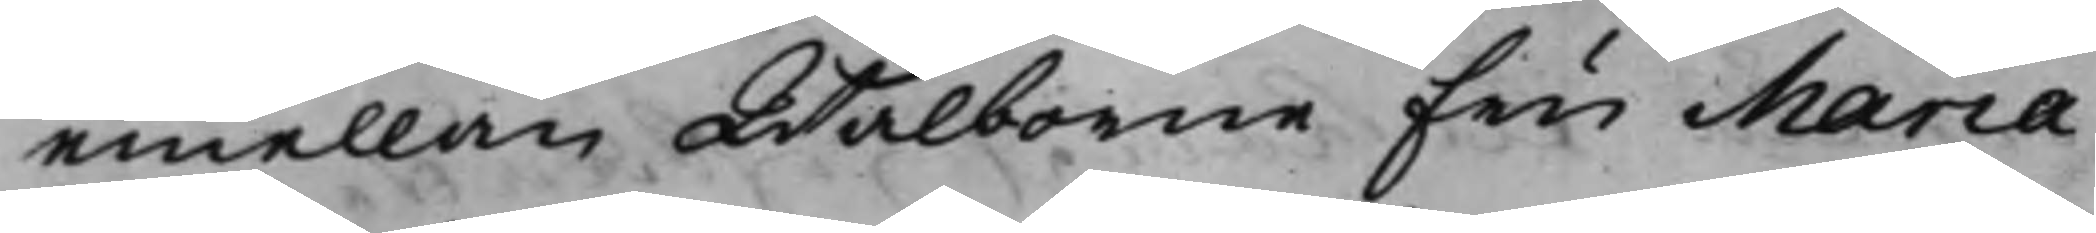emellan Wälborne Fru Maria
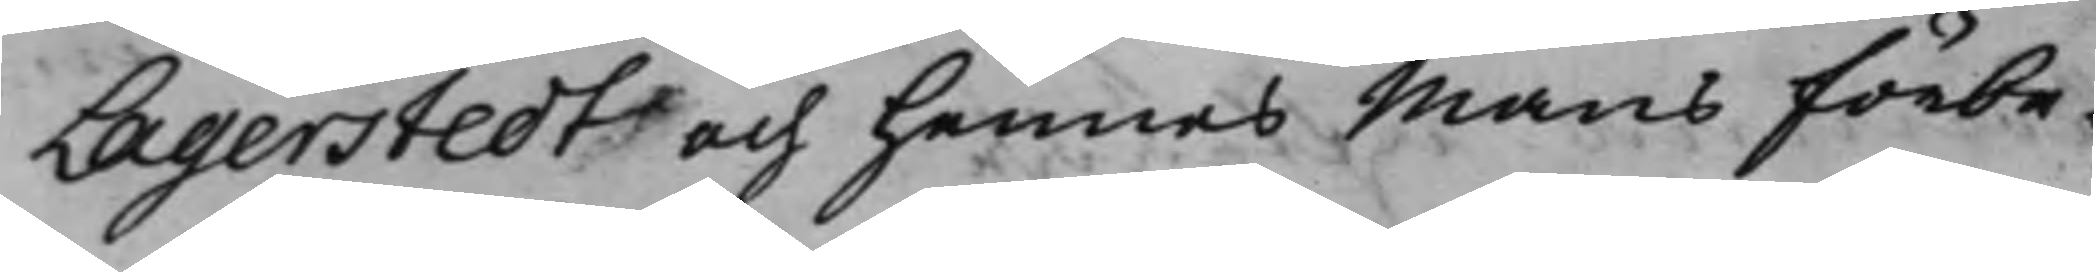Lagerstedt och hennes Mans förbe¬
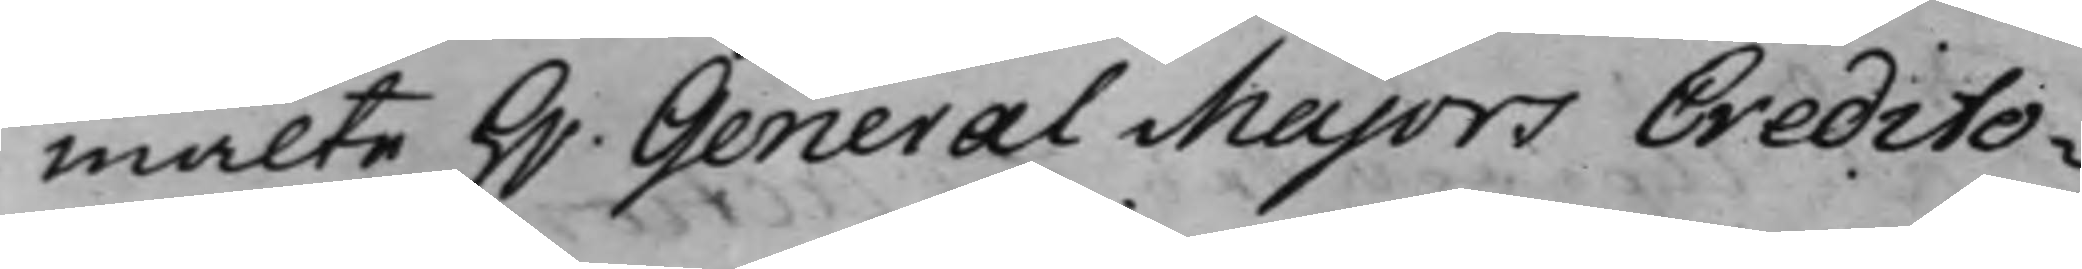mälte H.r General Majors Credito¬
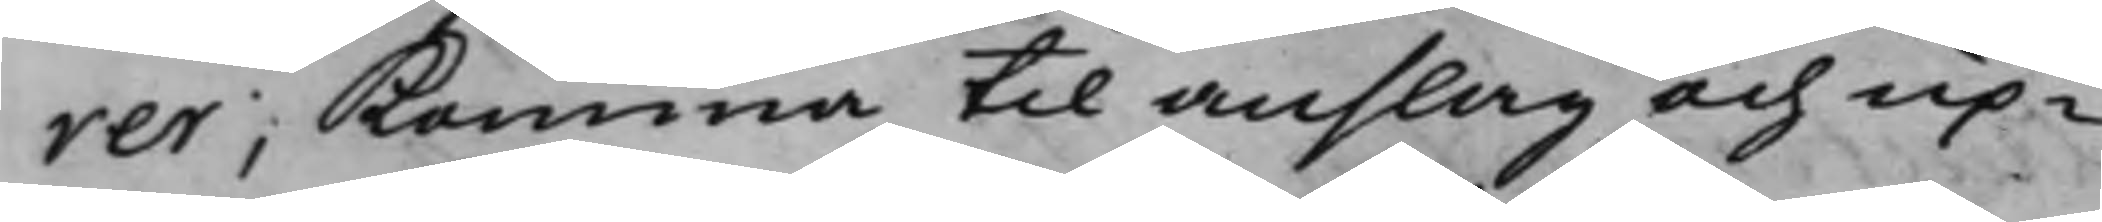rer, komma til anslag och up¬
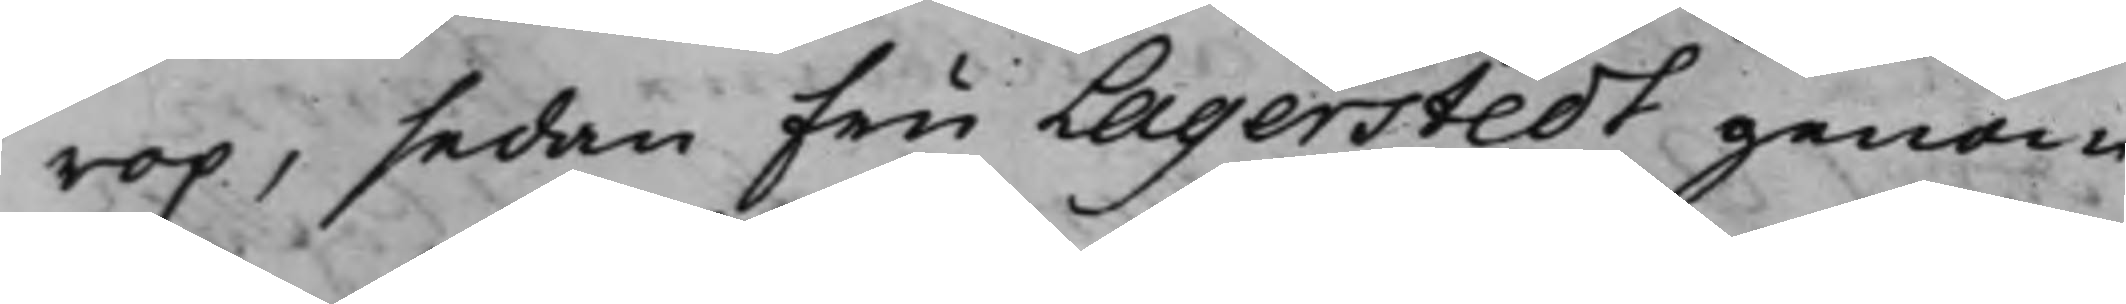rop, sedan Fru Lagerstedt genom
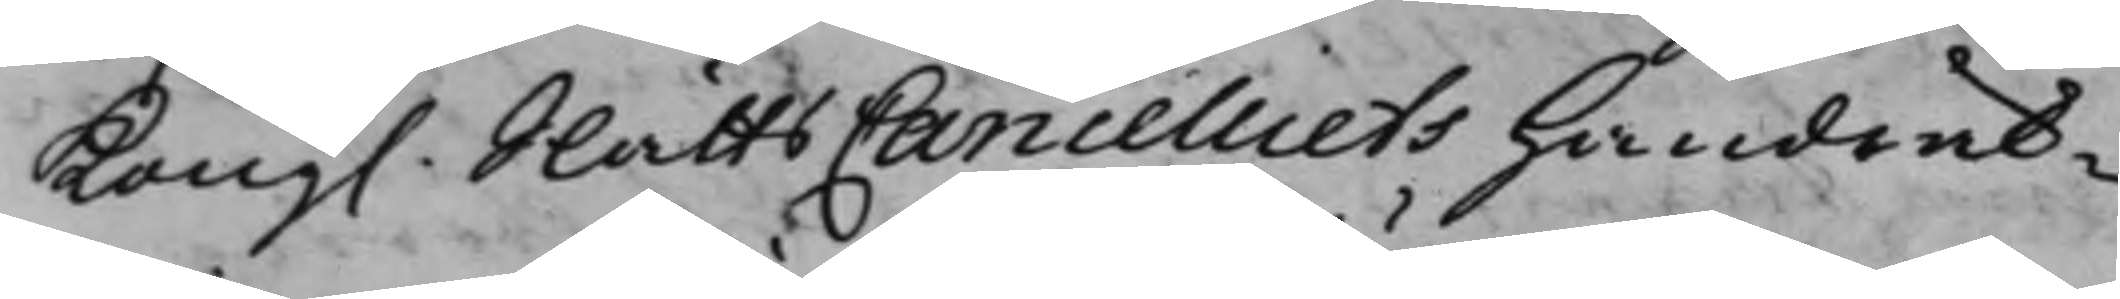Kong. SlåttsCancelliets Handrek¬
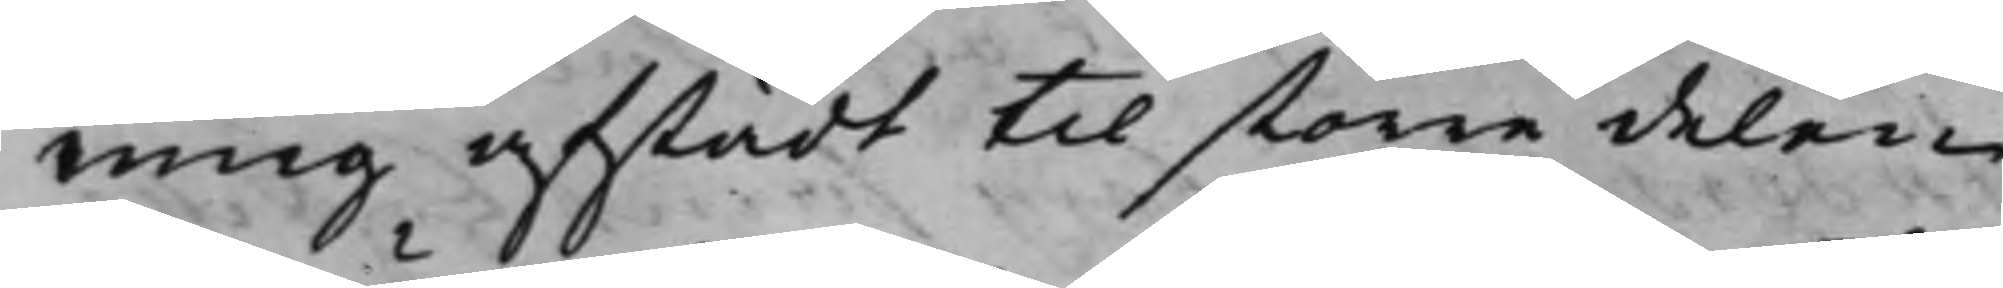ning afstådt til större delen
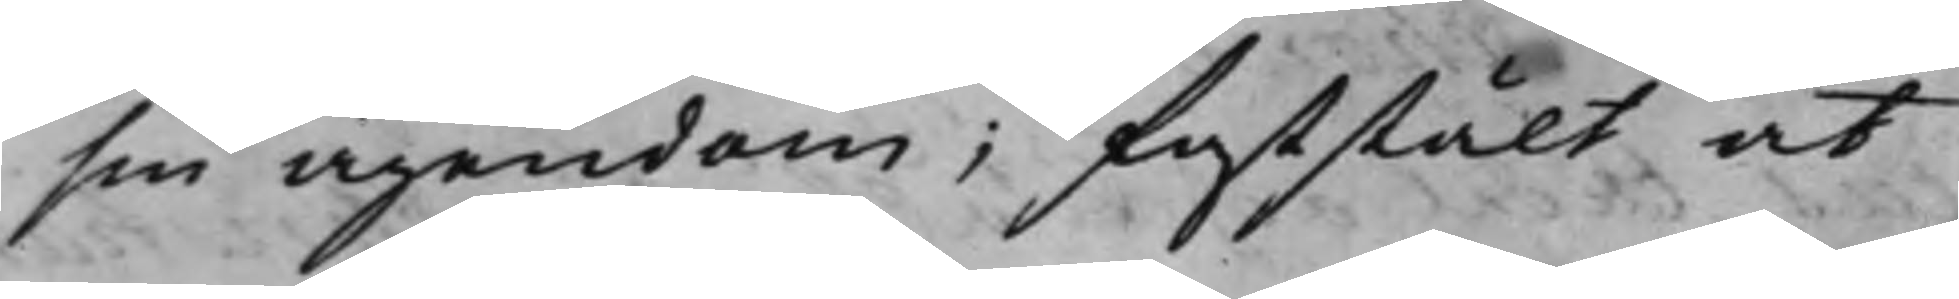sin ägendom; faststält at
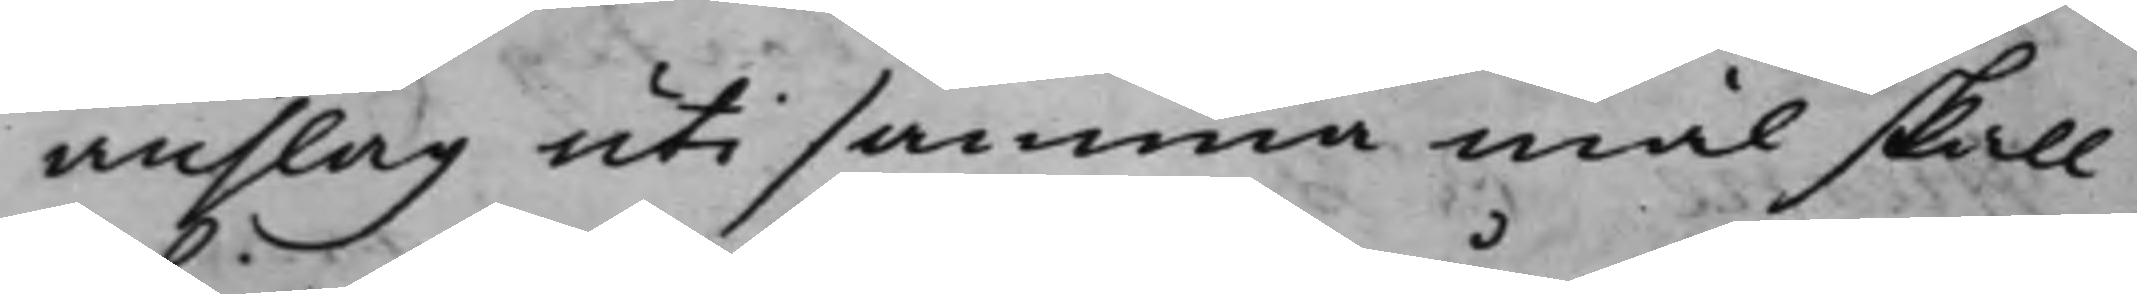anslag uti samma mål skall
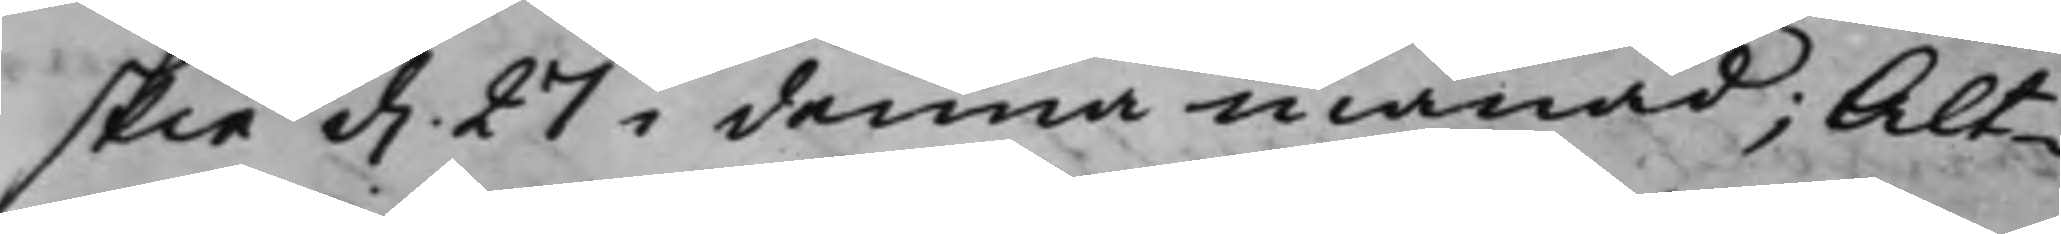skie d. 27 i denna månad; Alt¬
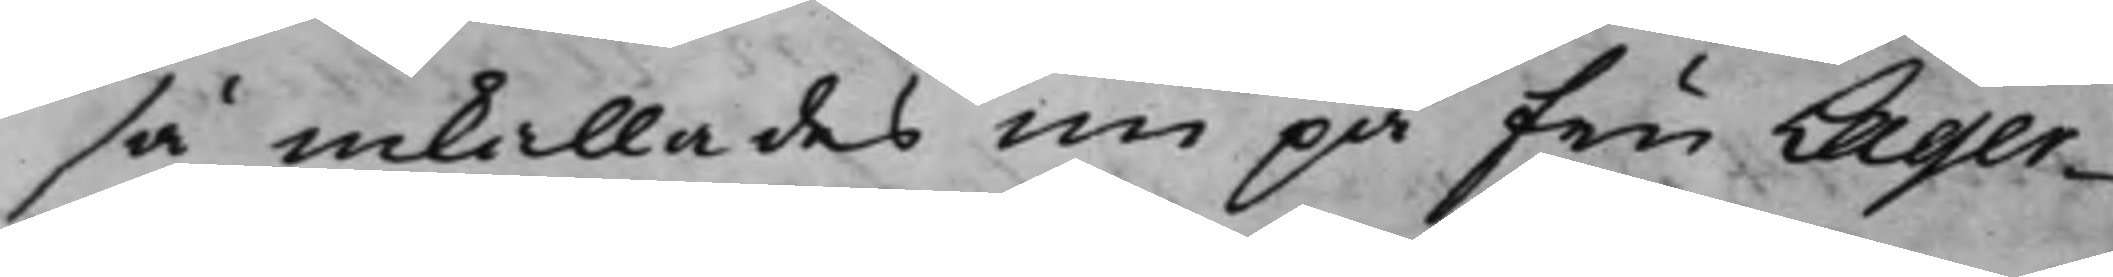så inkallades nu på Fru Lager¬
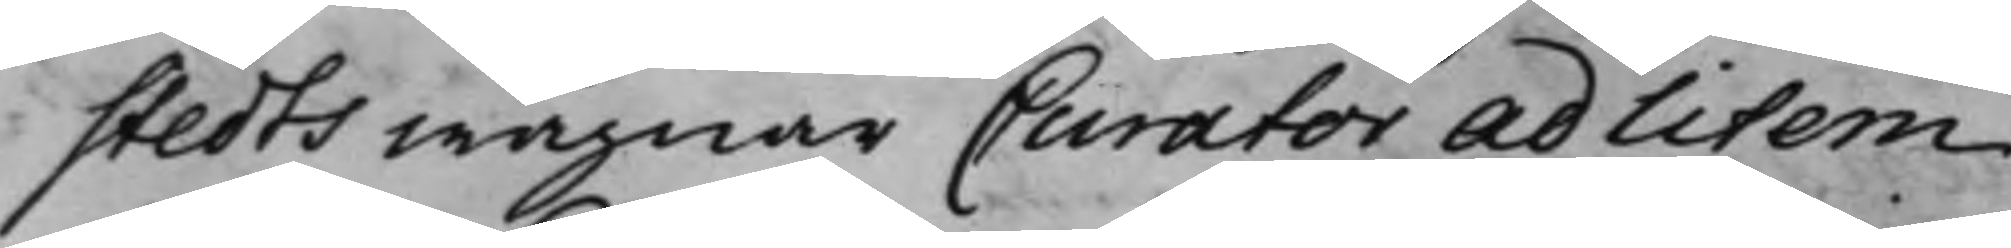stedts wägnar Curator Ad litem
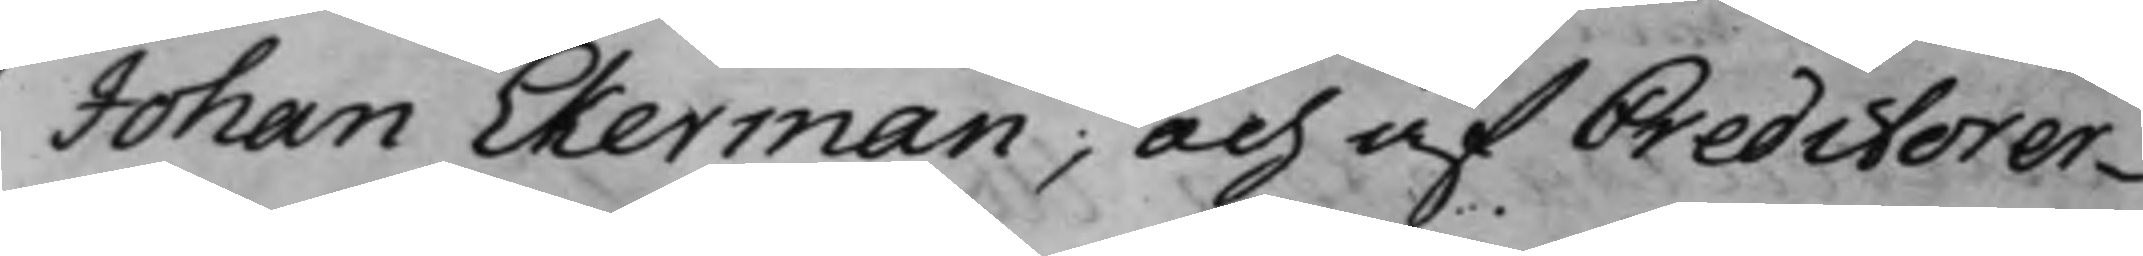Johan Ekerman; och af Creditorer¬
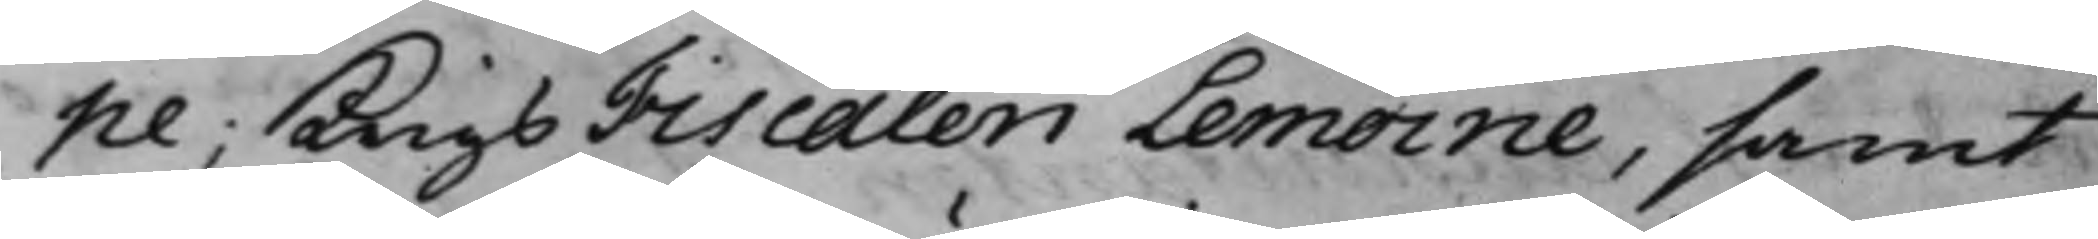ne; KnigsFiscalen Lemoine, samt
